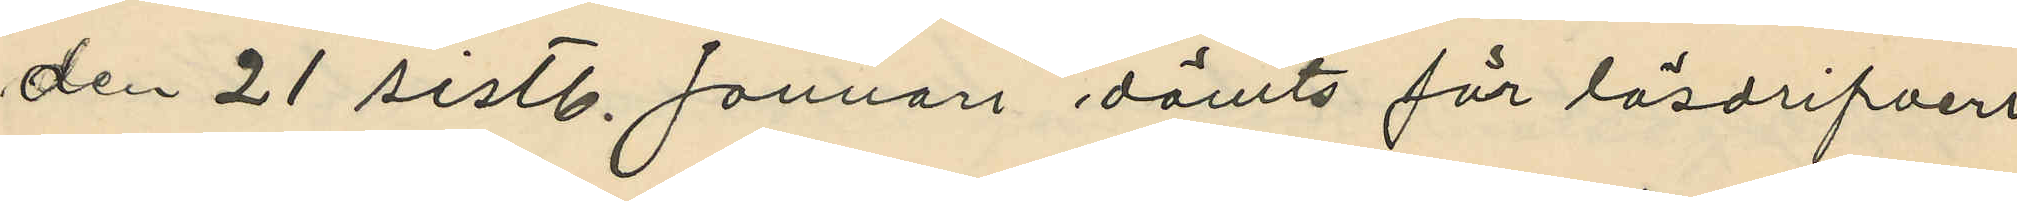den 21 sistl. Januari dömts för lösdrifveri
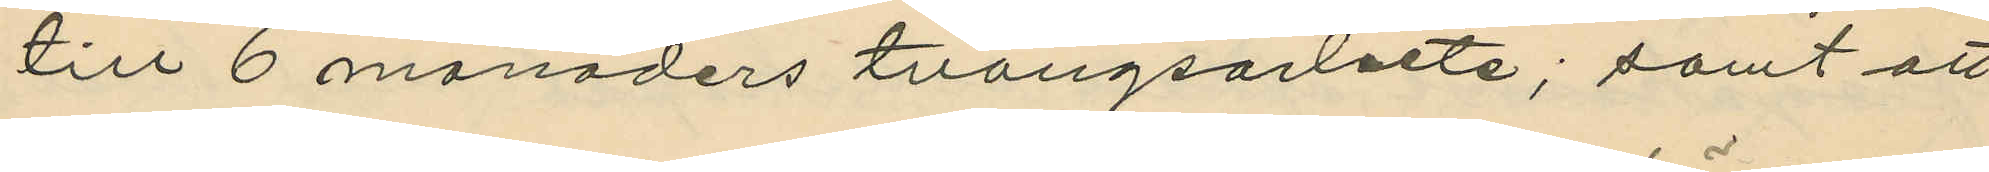till 6 månaders tvångsarbete; samt att
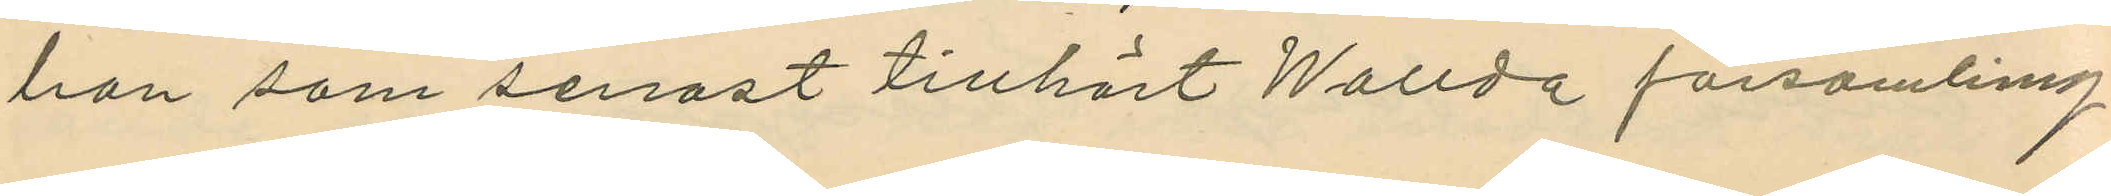han som senast tillhört Wallda församling
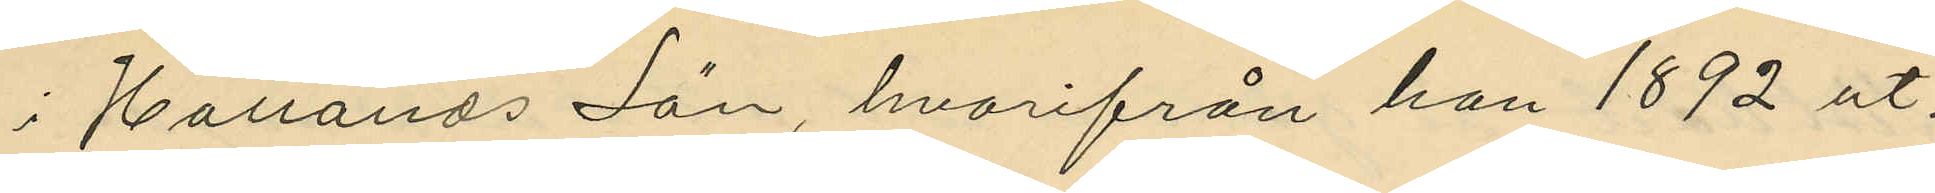i Hallands Län, hvarifrån han 1892 ut¬
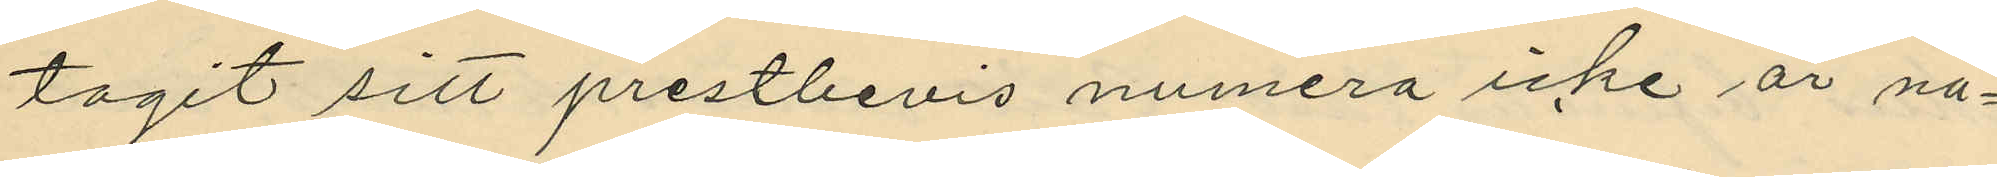tagit sitt prestbevis numera icke är nå¬
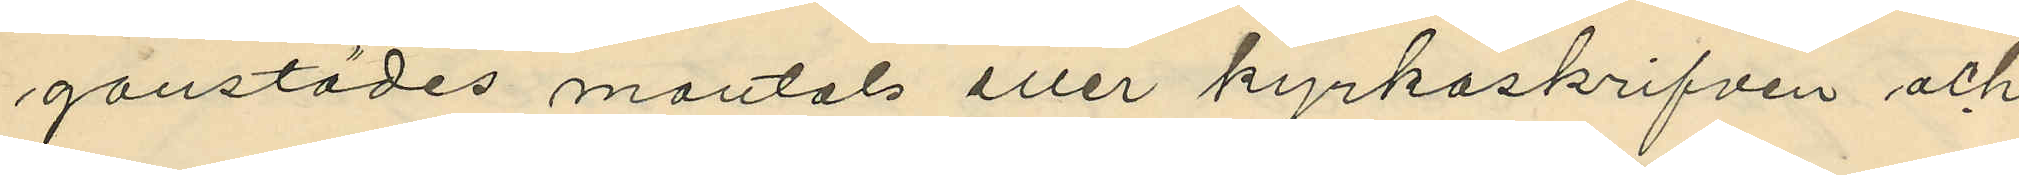gonstädes mantals eller kyrkoskrifven och
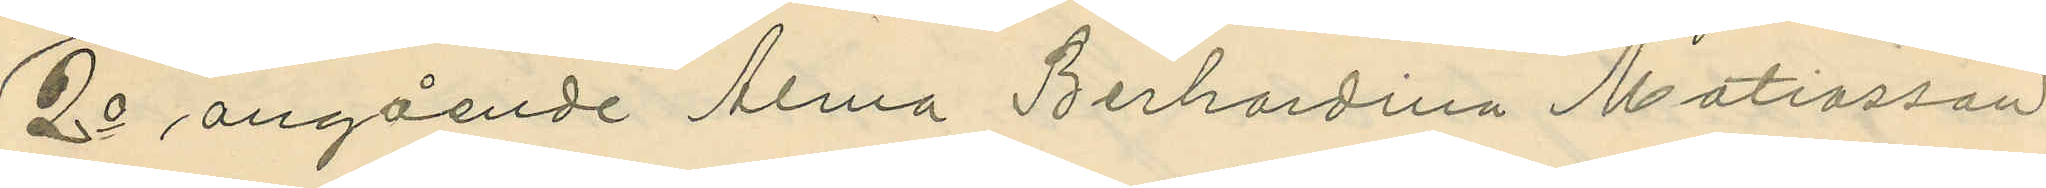2o angående Alma Berhardina Matiasson
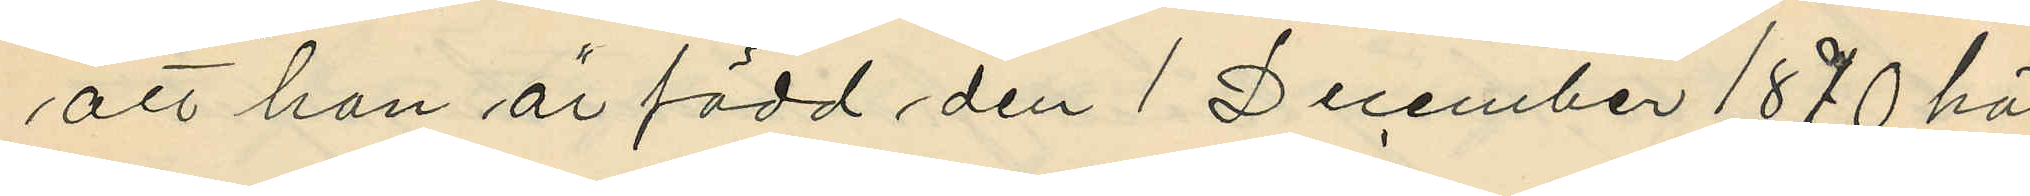att hon är född den 1 December 1870 här
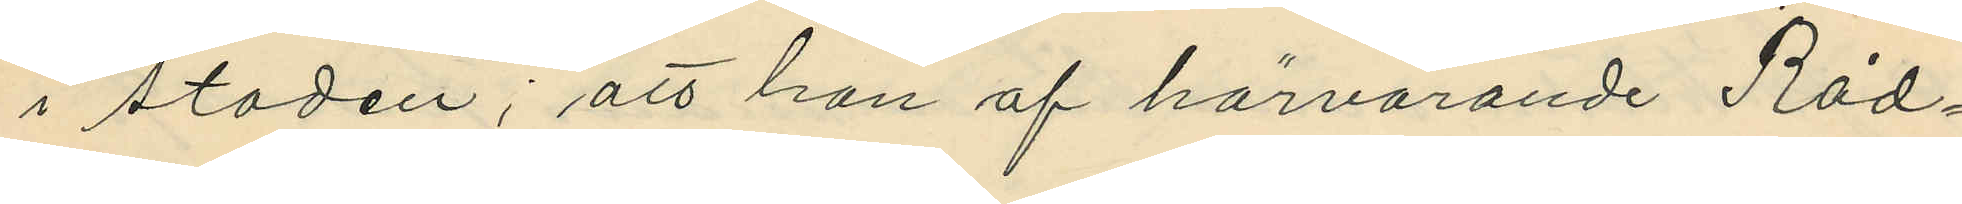i staden; att hon af härvarande Råd¬
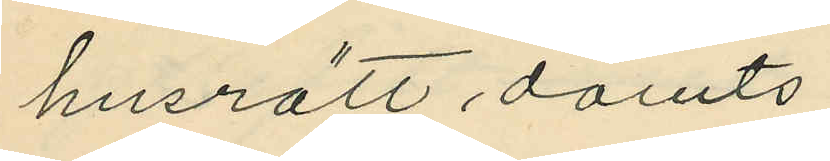husrätt dömts:
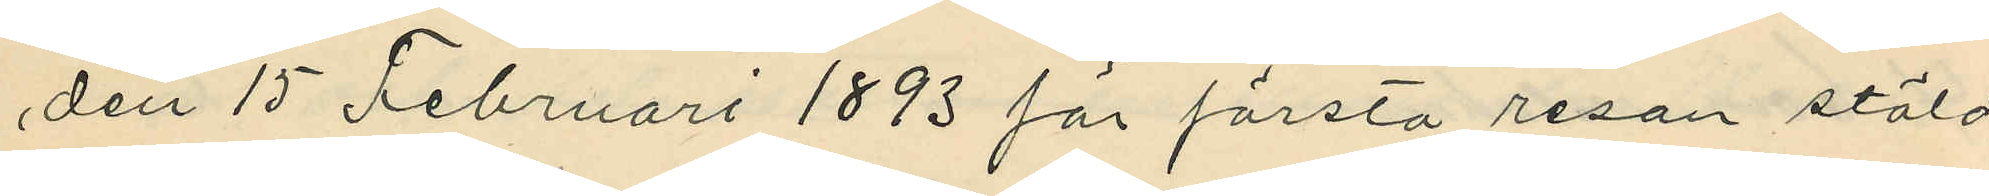den 15 Februari 1893 för första resan stöld
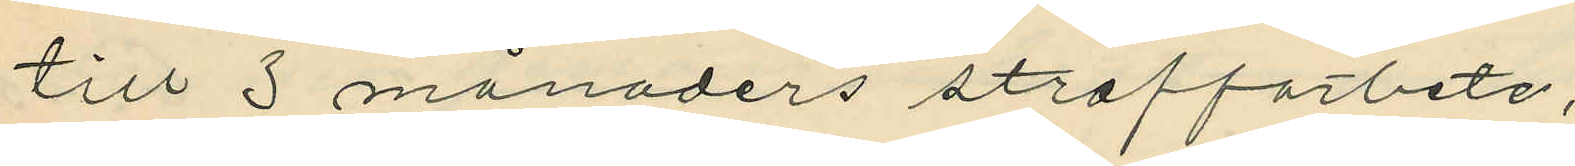till 3 månaders straffarbete;
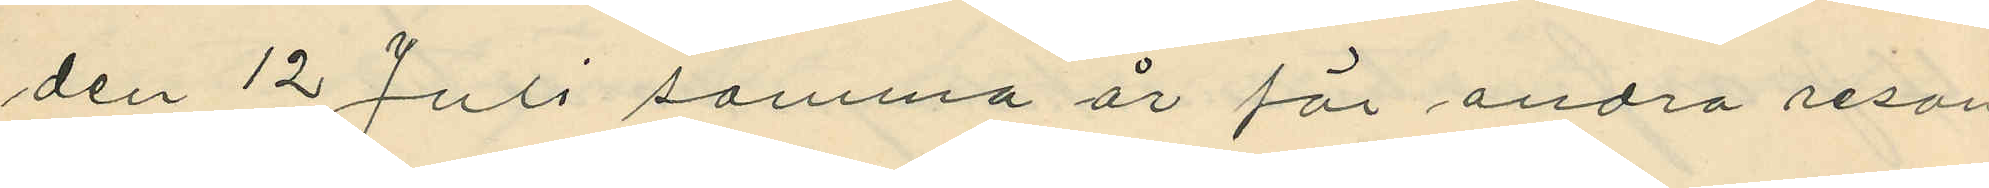den 12 Juli samma år för andra resan
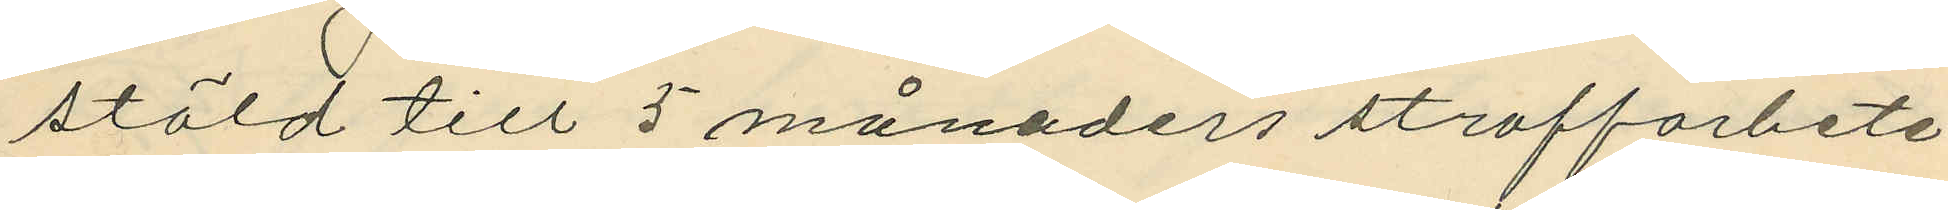stöld till 5 månaders straffarbete;
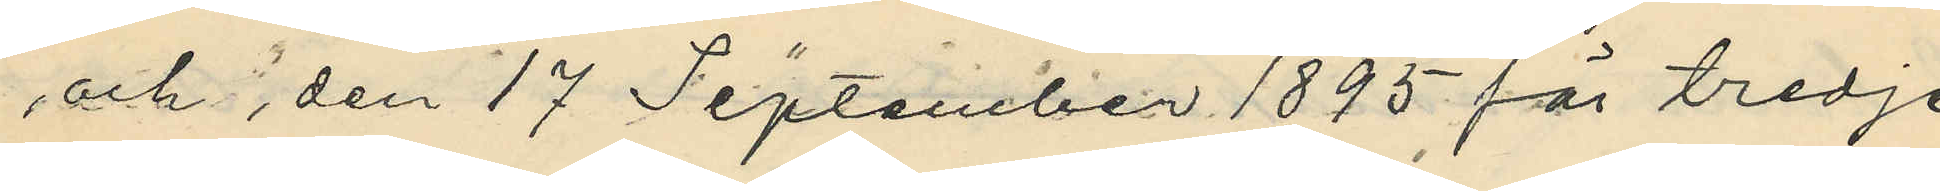och den 17 September 1895 för tredje
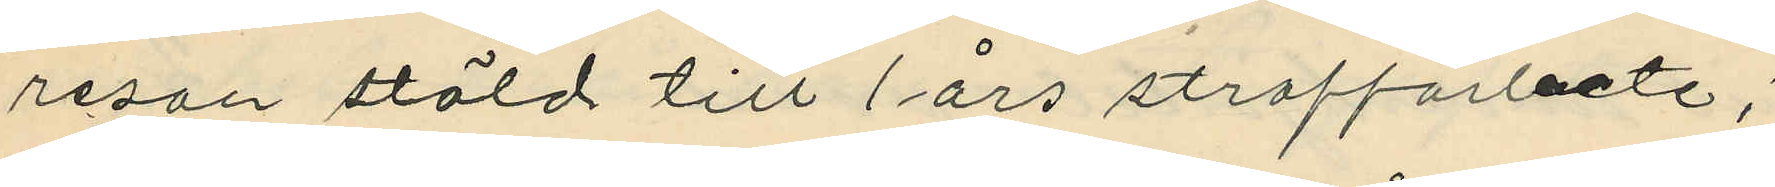resan stöld till 1 års straffarbete;
